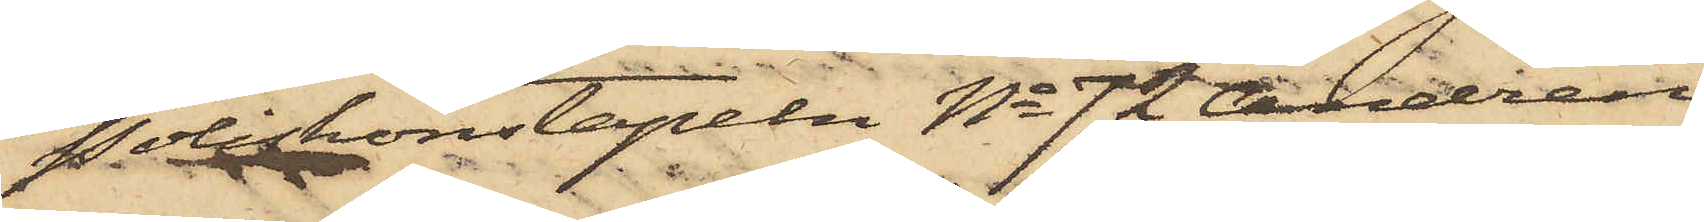Poliskonstapeln No 72 Andrén
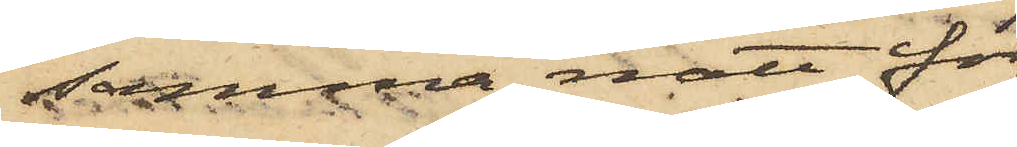samma natt för
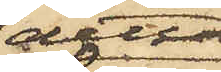detta
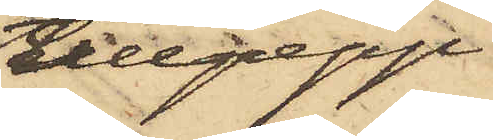tillgrepp
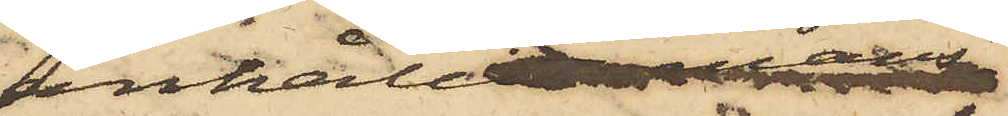anhållit mans¬
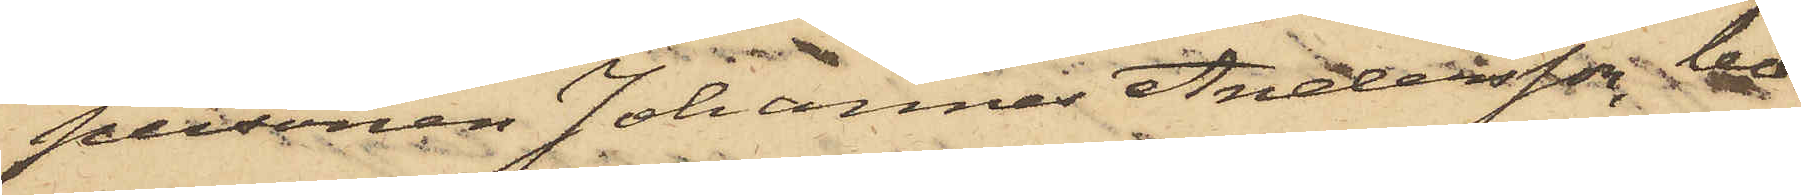personen Johannes Andersson, bo¬
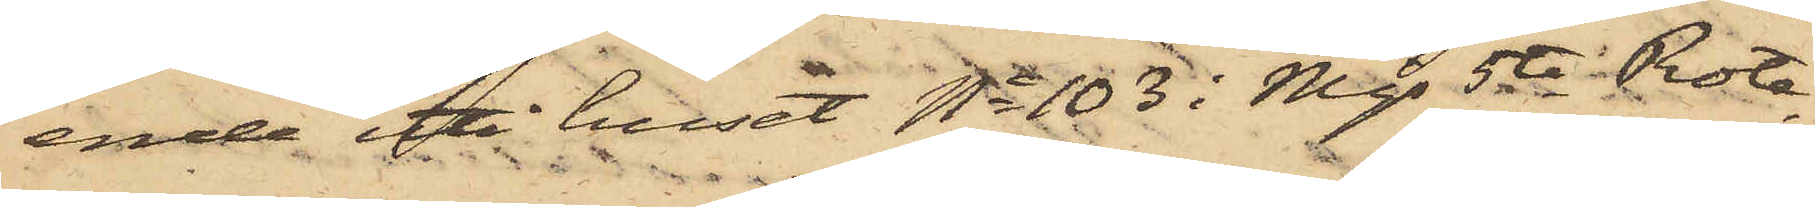ende uti huset No 103 i Mjs 5te Rote,
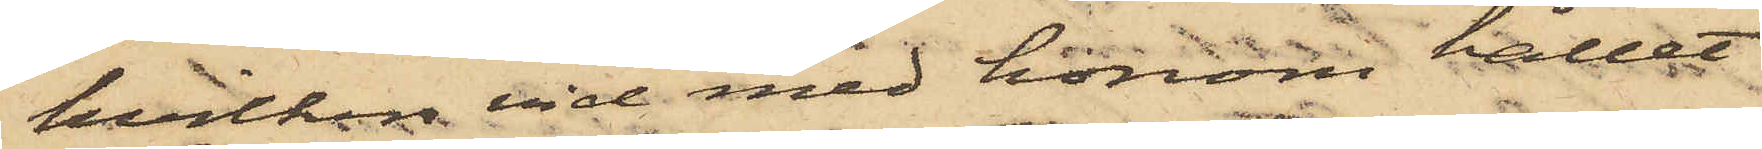hvilken vid med honom hållet
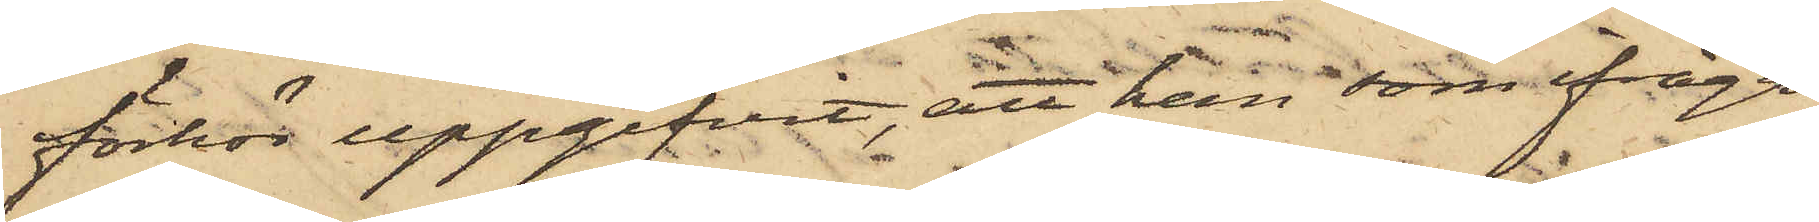förhör uppgifvit, att han, som ifråga¬
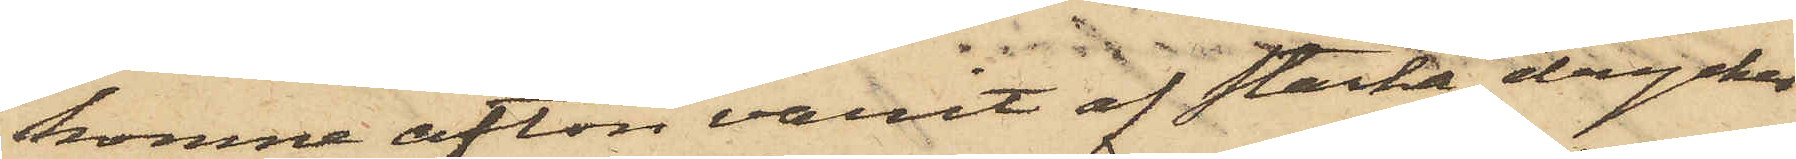komne afton varit af starka drycker
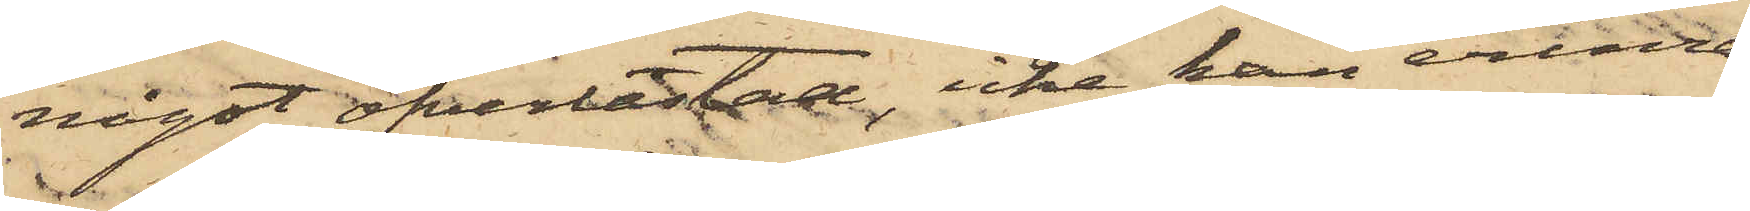något öfverlastad, icke kan erinra
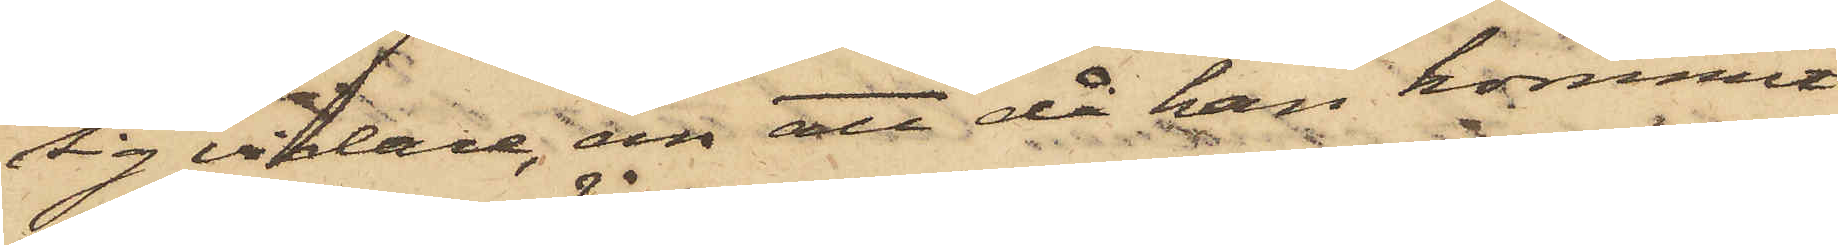sig vidare, än att då han kommit
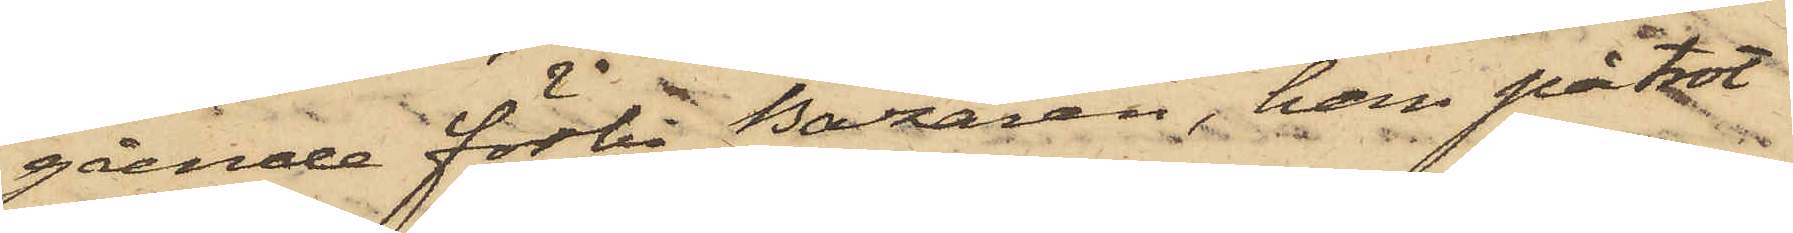gående förbi Bazaren, han på trot¬
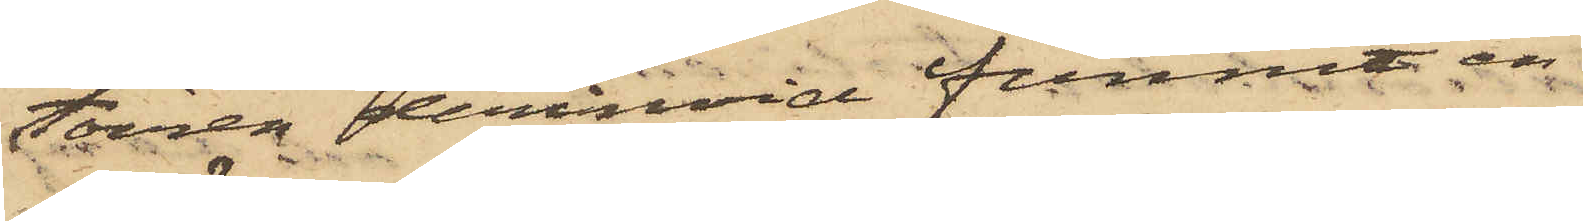toiren derinvid funnit en
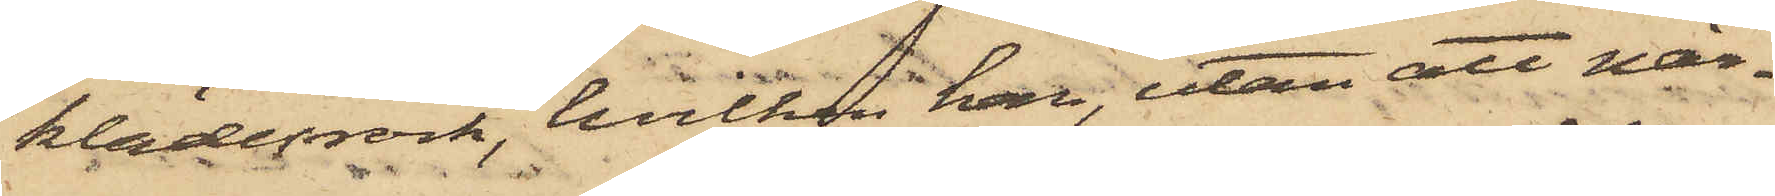klädesrock, hvilken han, utan att när¬
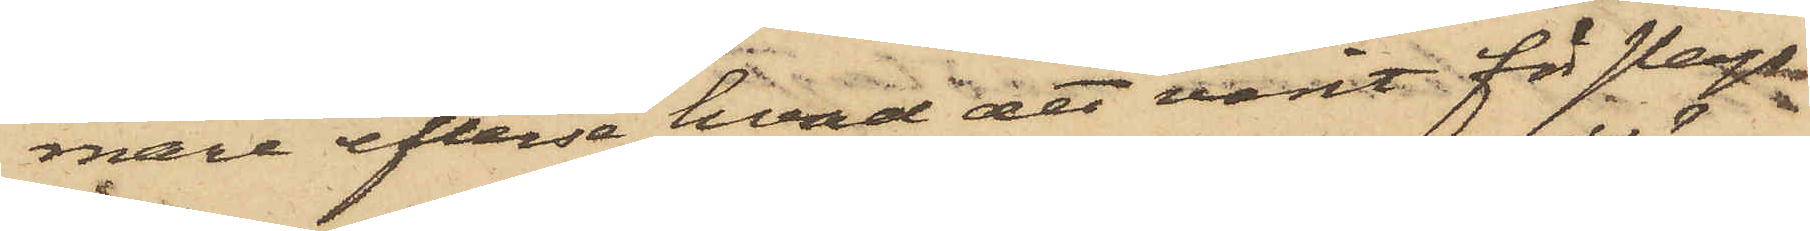mare efterse hvad det varit för slags
